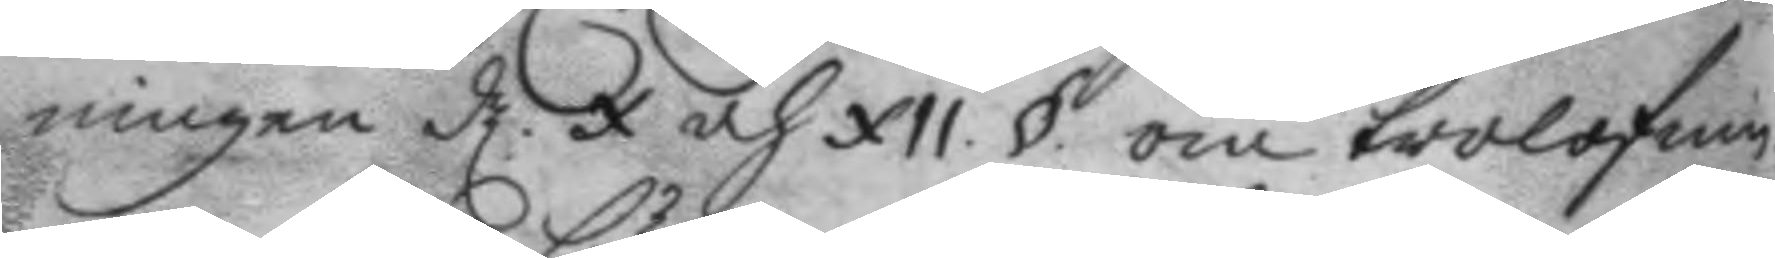ningen d. X och XII § om trolofnin¬
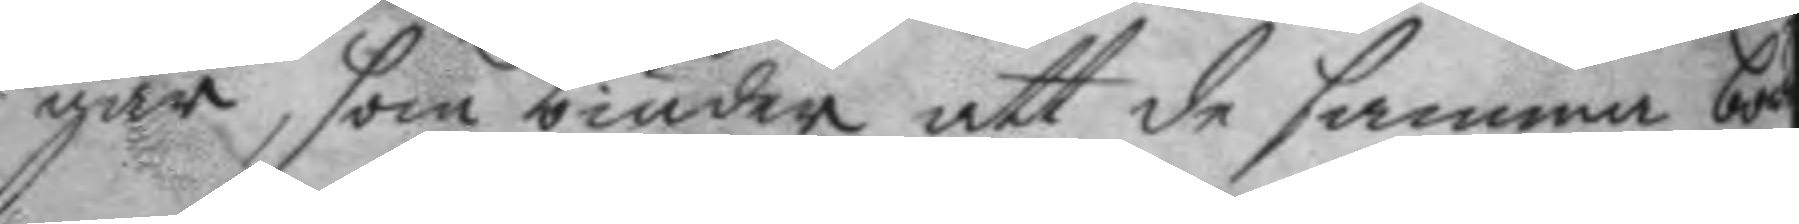gar, som biuder att de samma bör
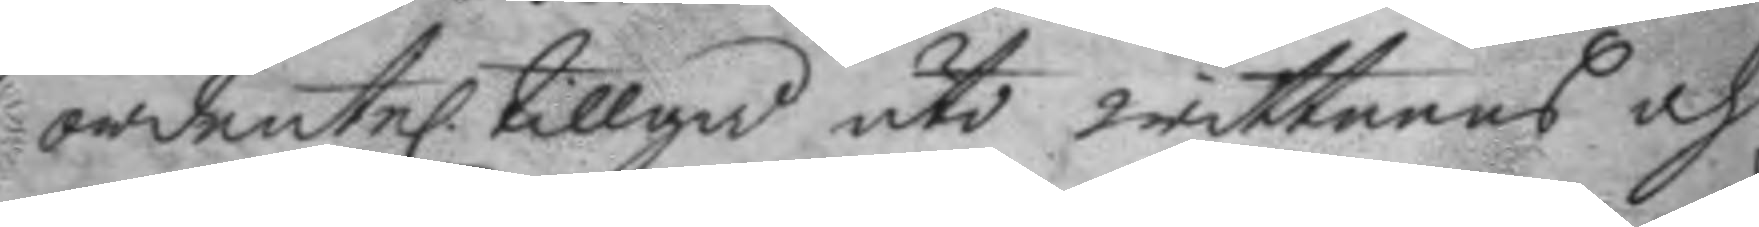ordentel. tillgå uti wittnens och
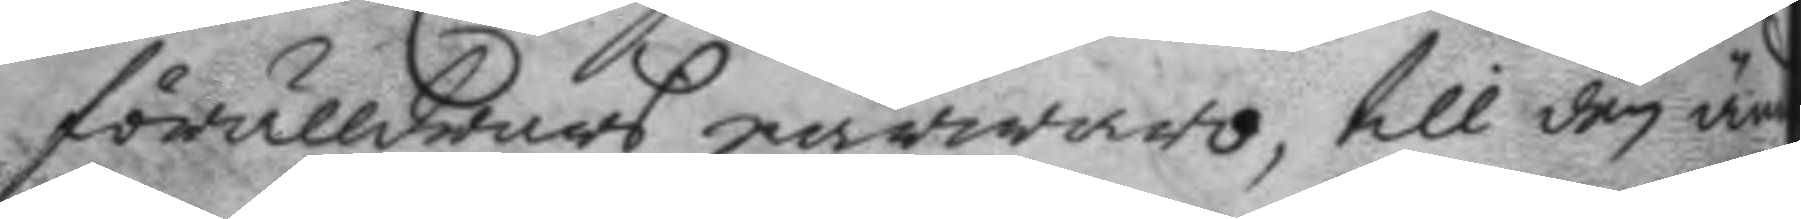förälldrars närwaro, till den änden
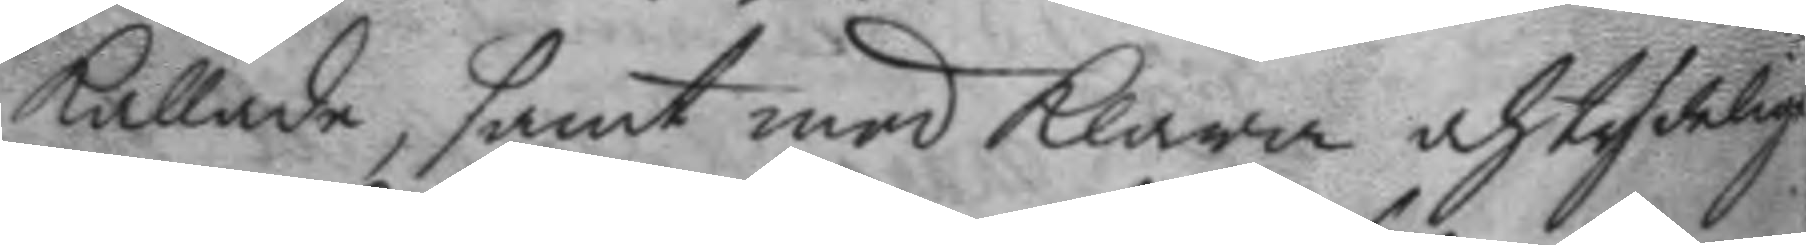kallade, samt med klara och tydelige
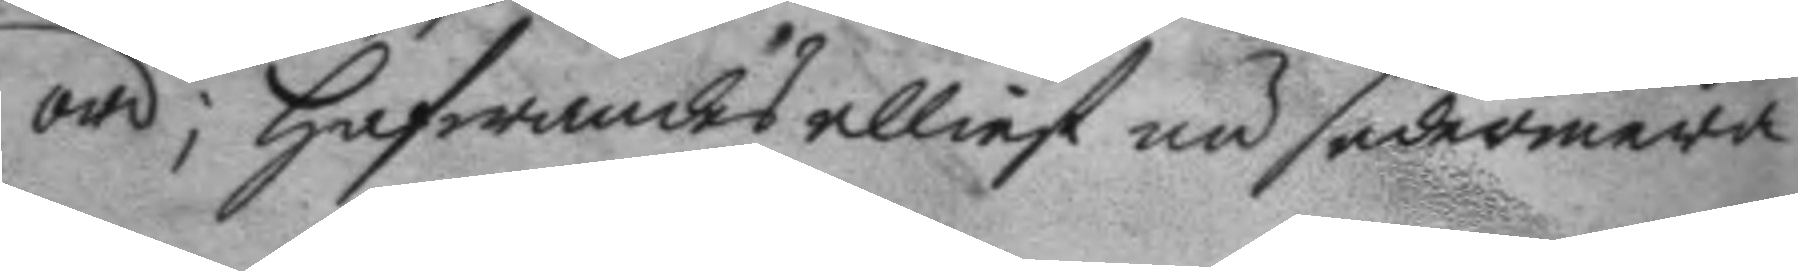ord; hafwandes elliest nu sedermera
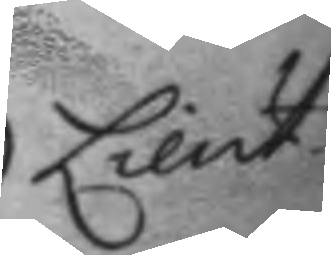Lieut.
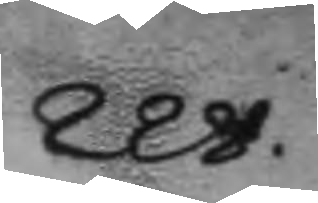228.
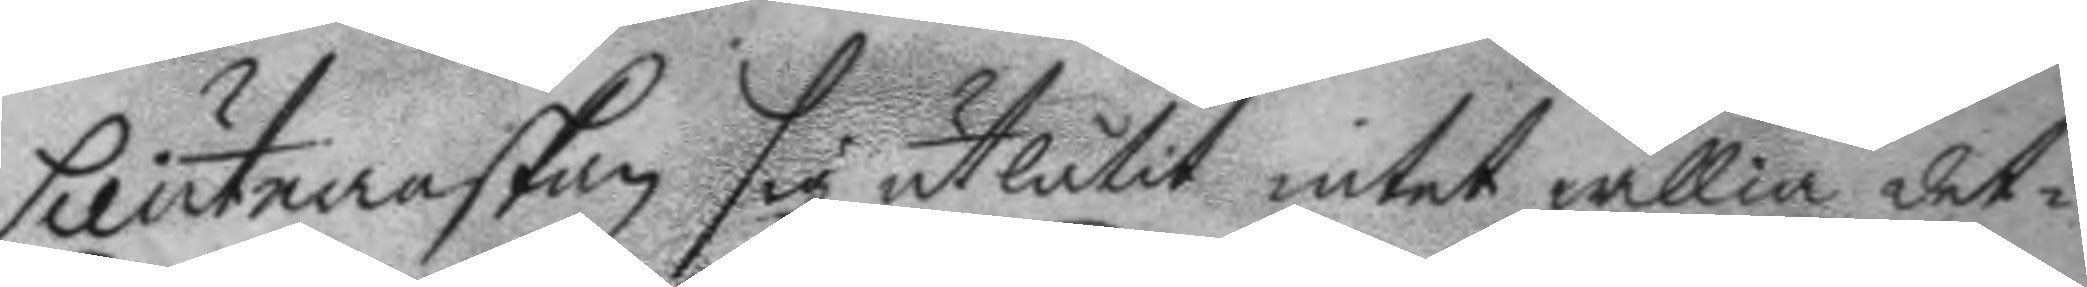Lieutnanskan sig utlåtit intet willia det¬
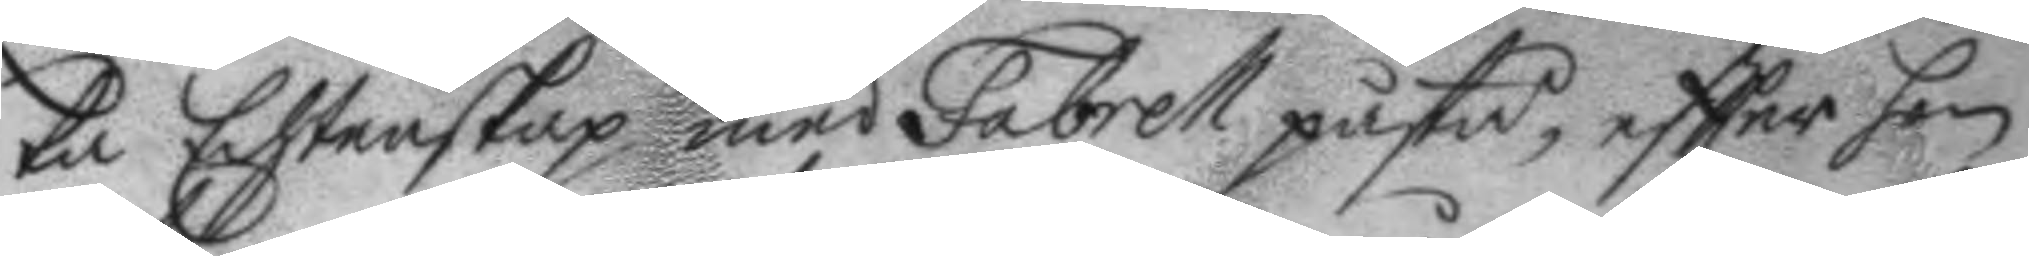ta Echtenskap med Fabrell påstå, eftter hon
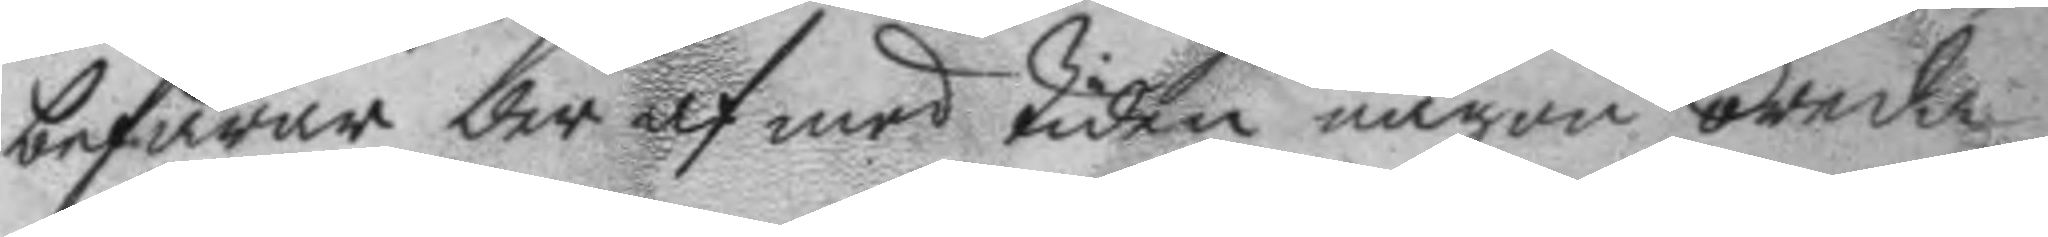befarar der af med tiden någon oreda
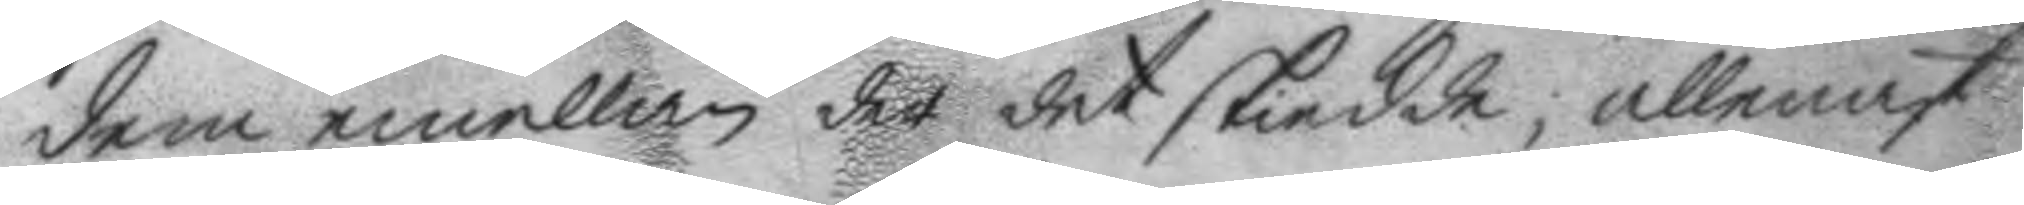dem emellan der det skiedde; allenast
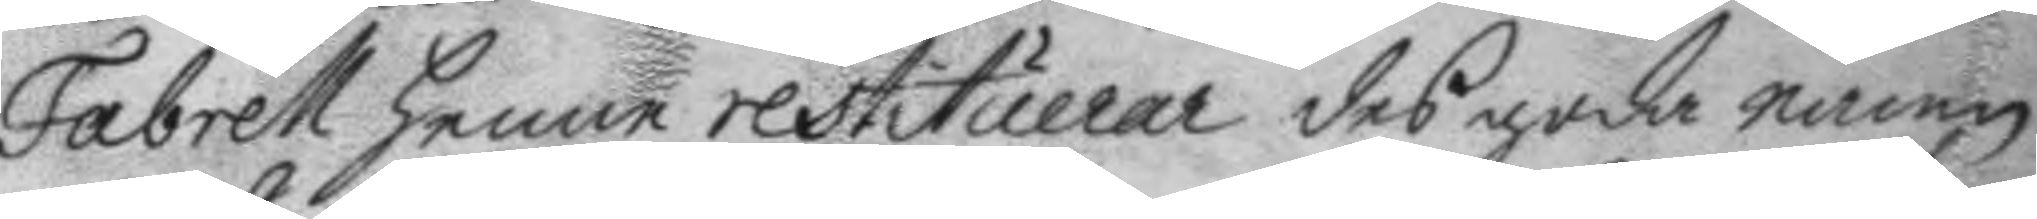Fabrell henne restituerar des goda namn
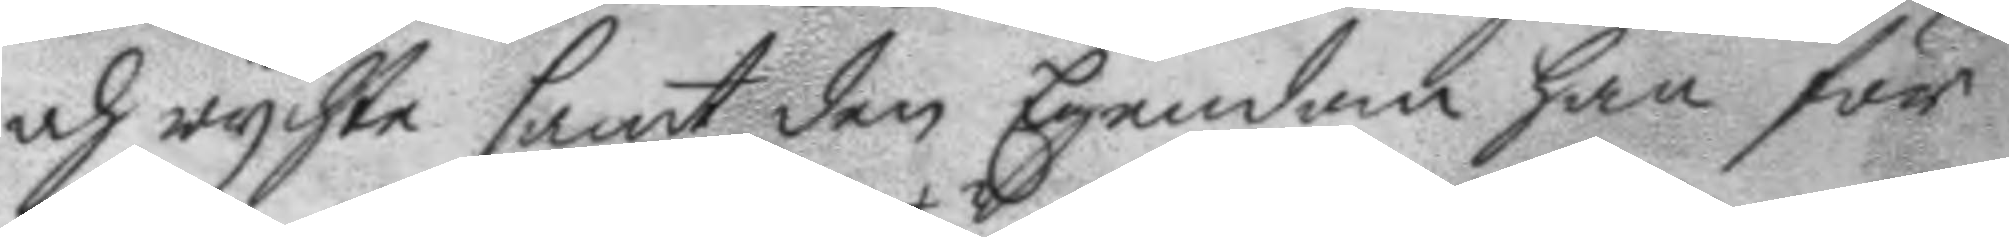och ryckte samt den Egendom han för
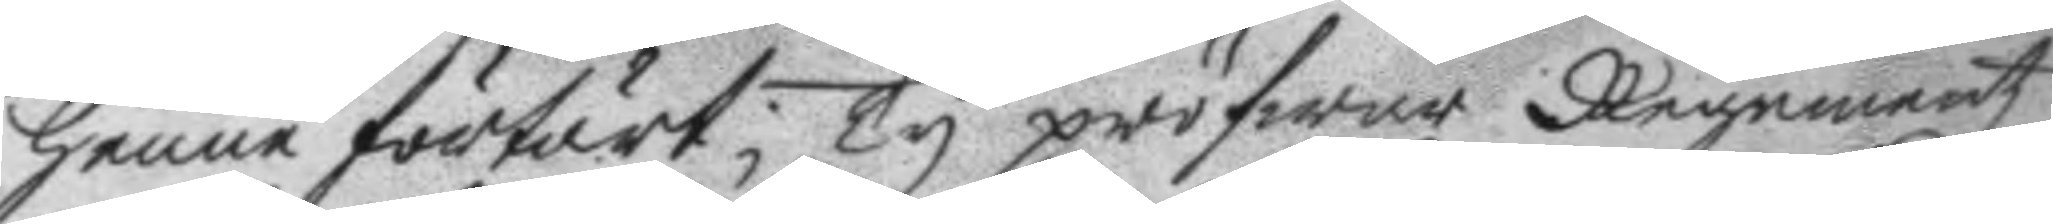henne förtärt; Ty pröfwar Regementz
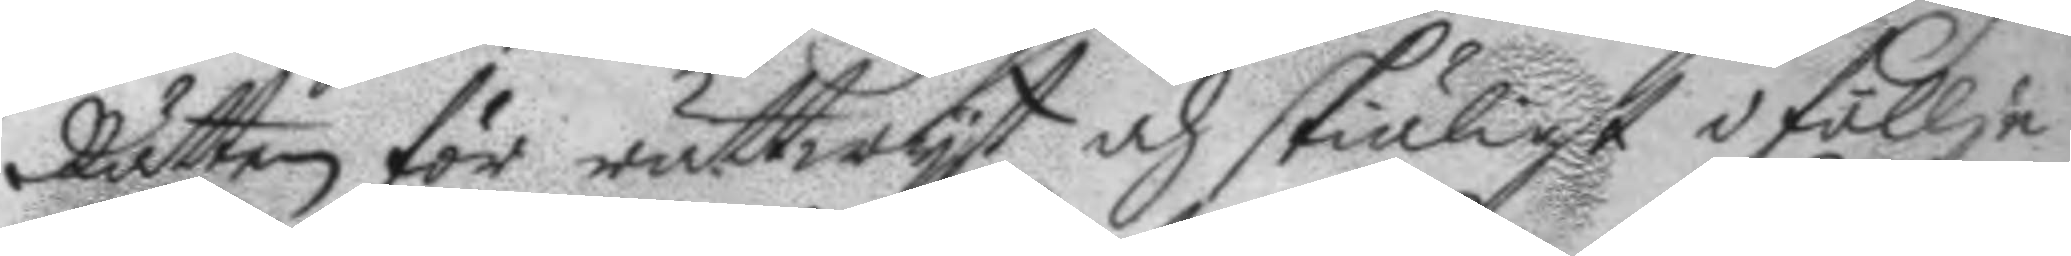Rätten för rättwyst och skiäligt i föllje
